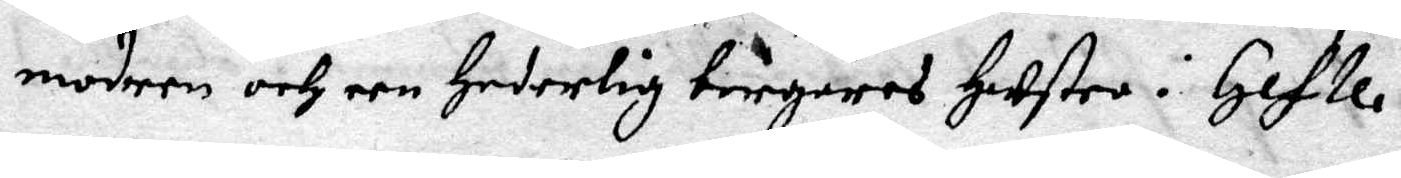modren och een Hederlig borgares Hustro i Gefle.
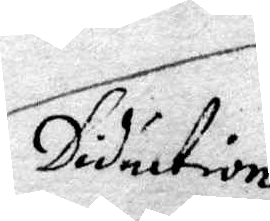Diduction
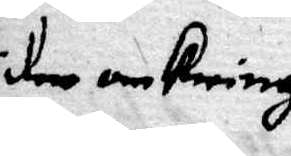her omkring
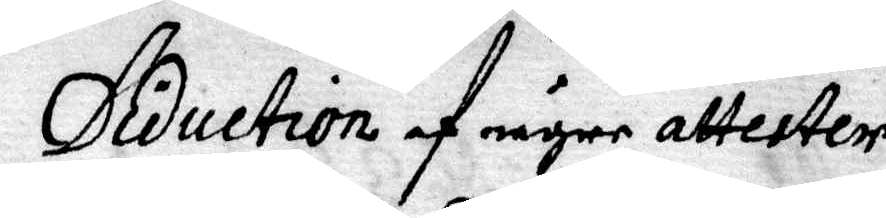Diduction af någre attester
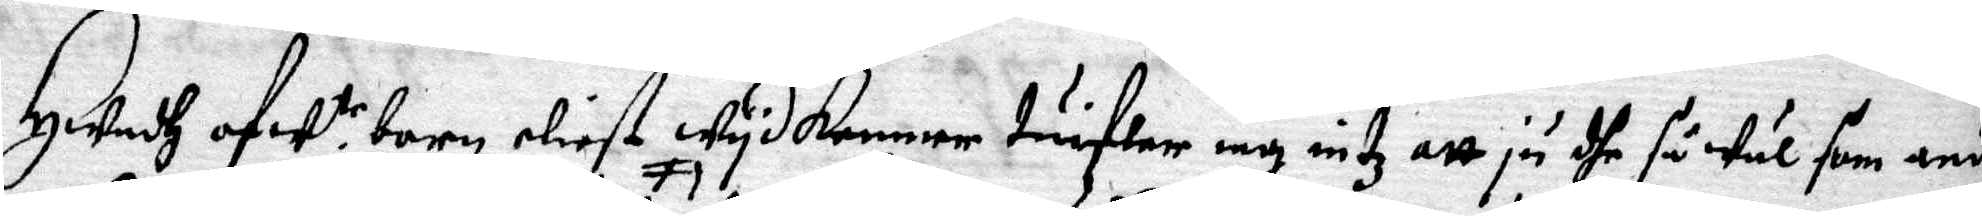Hwadh af w.tr barn eliest wydkommer tuifwer iag intz att ju dhe så wäl som andre
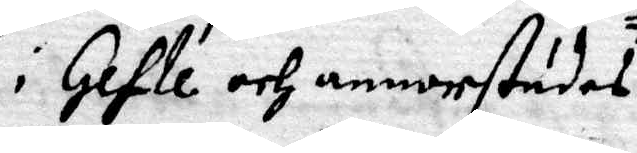i Gefle och annorstädes
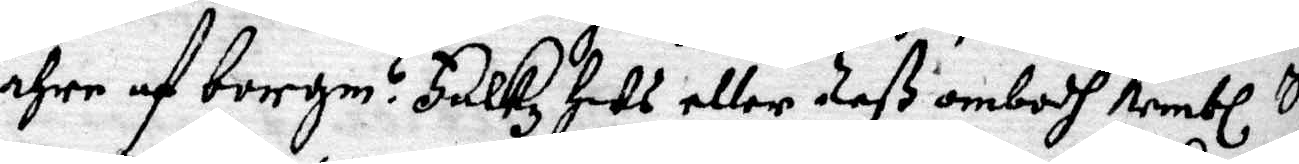ehre af Borgm? Falkz Hus eller deß ombudh Nembl. Sohn
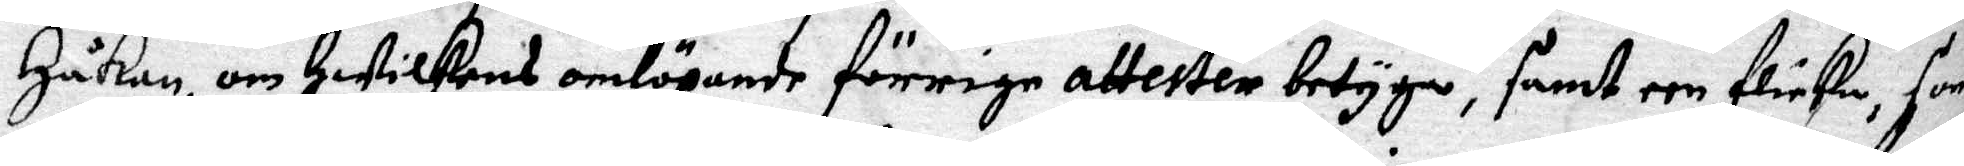Håkan, om Hwilkens omlöpande förrige attester betyga, samt een flicka, som
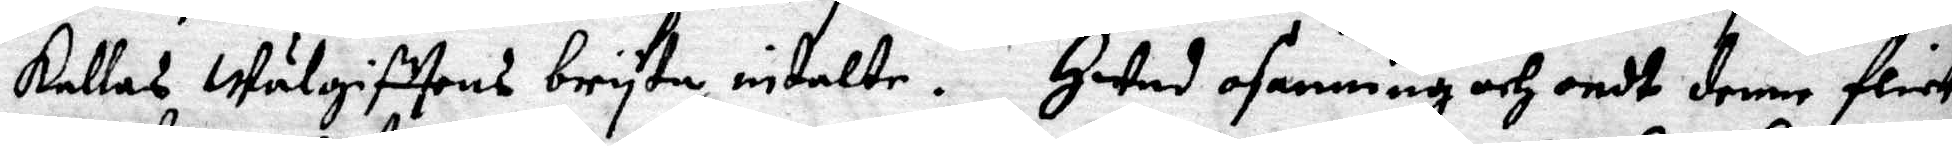kallas Wälgifttens bryta, intalte. Hwad osanning och ondt denne flicka
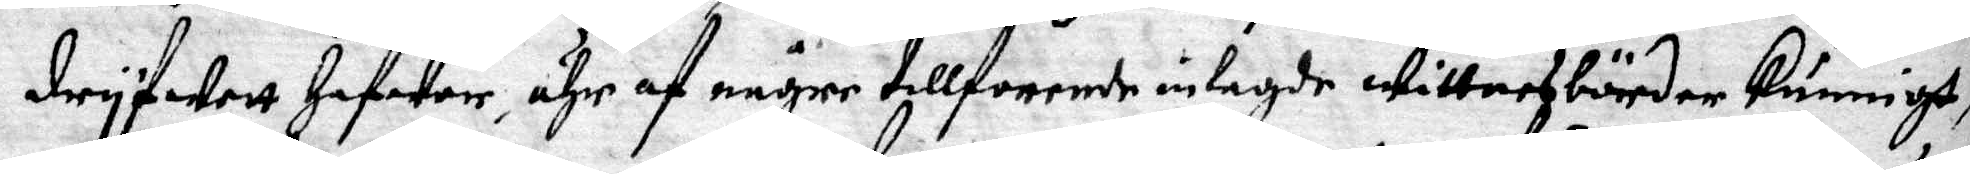dryfwett Hafwer, ähr af någre tillforende inlagde wittnesbörder kunnigt,
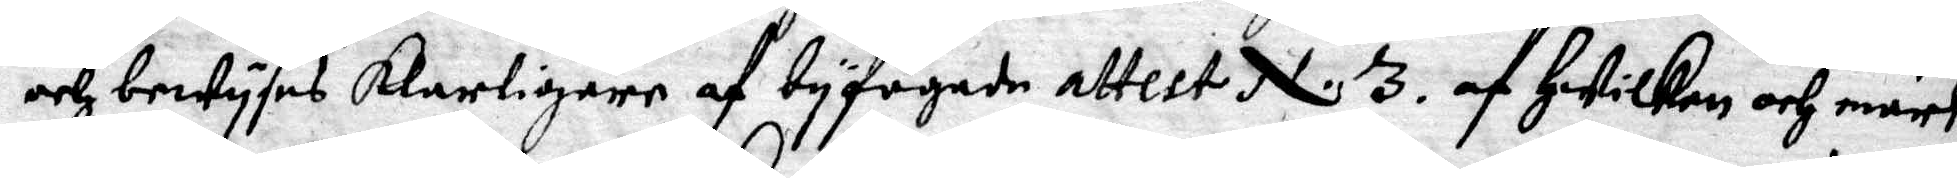och bewyses klarligere af byfogade attest N.3 af Hwilken och märke
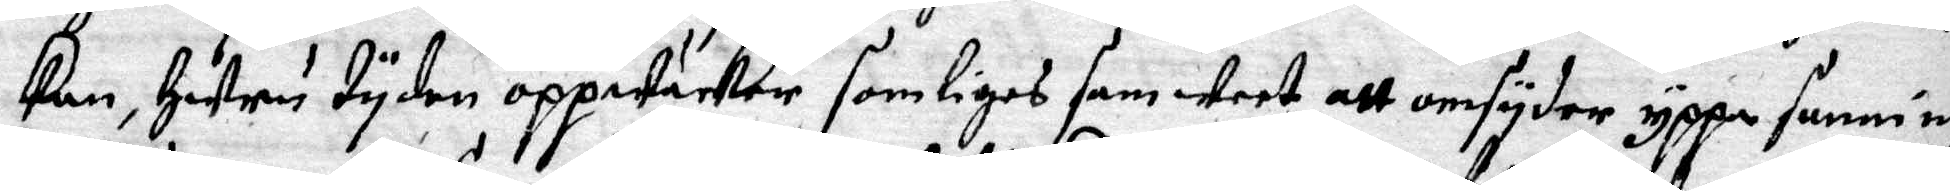kan, Huru tyden oppwäcker somligas samweet att omsyder yooa sanning
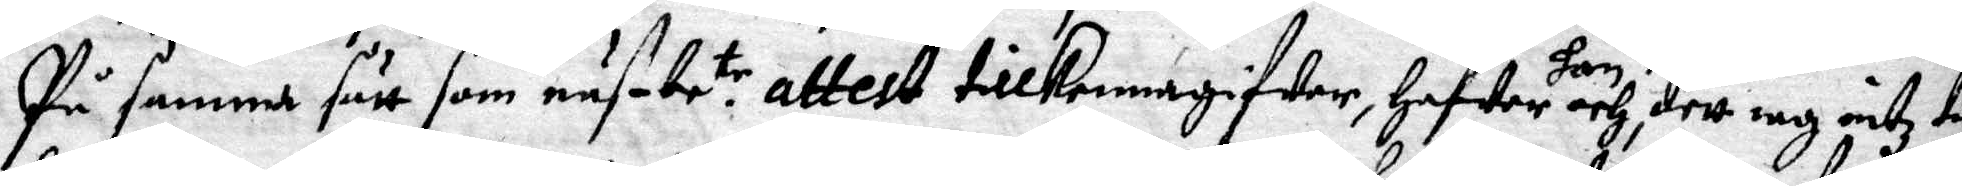På samma sätt som nus be.tr attest tillkennagifwer, Hafwer hon och, dett iag intz ta¬
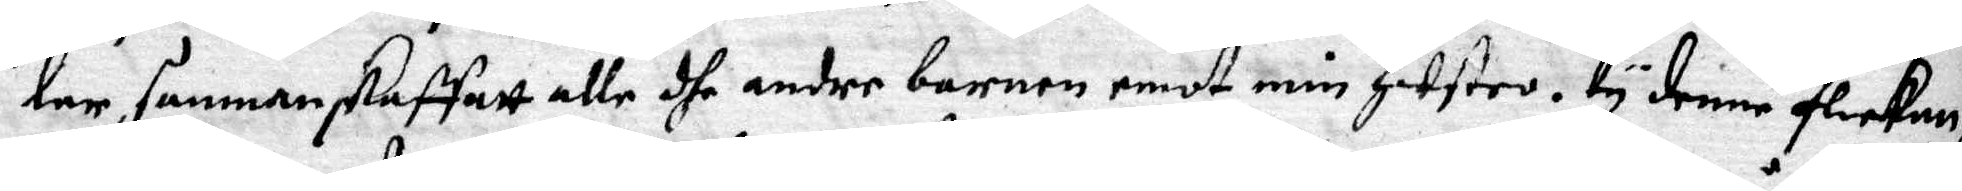lar, sammanskaffatt alle dhe andre barnen emot min Hustro. ty denne flickan h
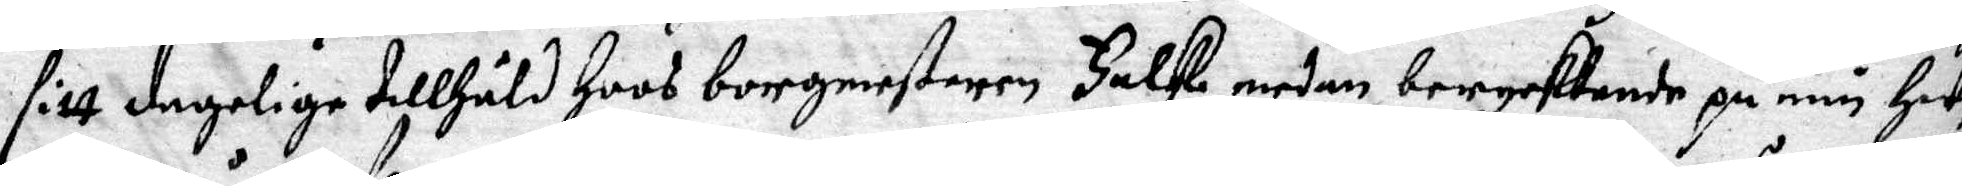sitt dagelige tillhåld Hoos borgmesteren Falk medan beryktande på min Hust
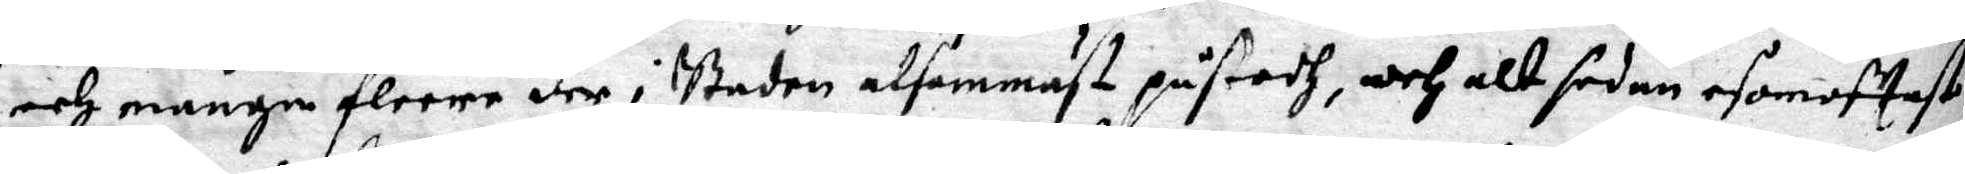och många fleere der i Staden alsammäst påstodh, och alt sedan esomoftast
